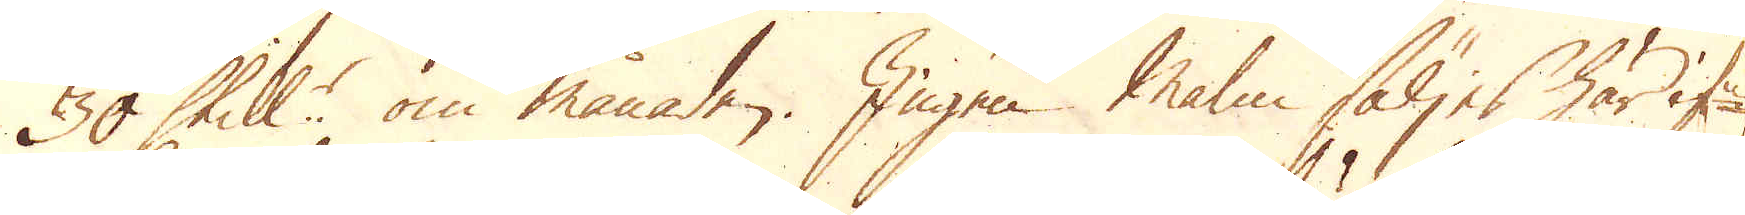30 Skill:r om månaden. Ingen Malm säljes här if:r,
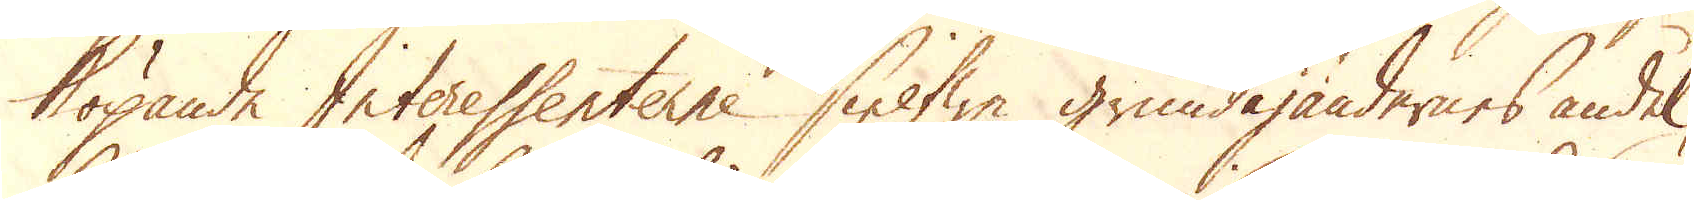köpande Interessenterne sielfwe grundägandernes andel,
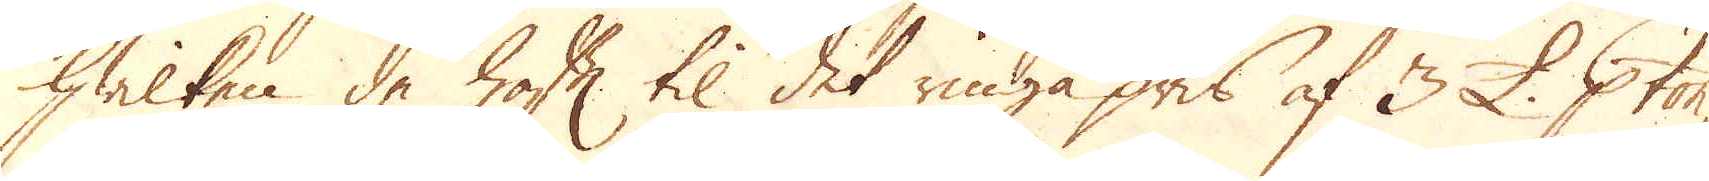hwilken de haft til det ringa pris af 3 £. p ton,
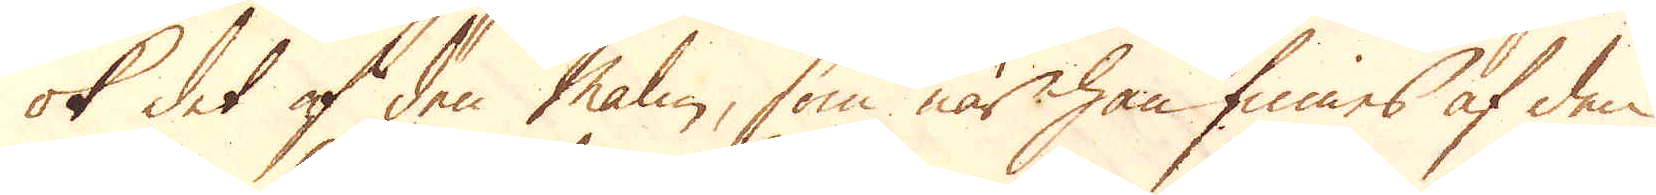ok det af den malm, som när han finnes af den
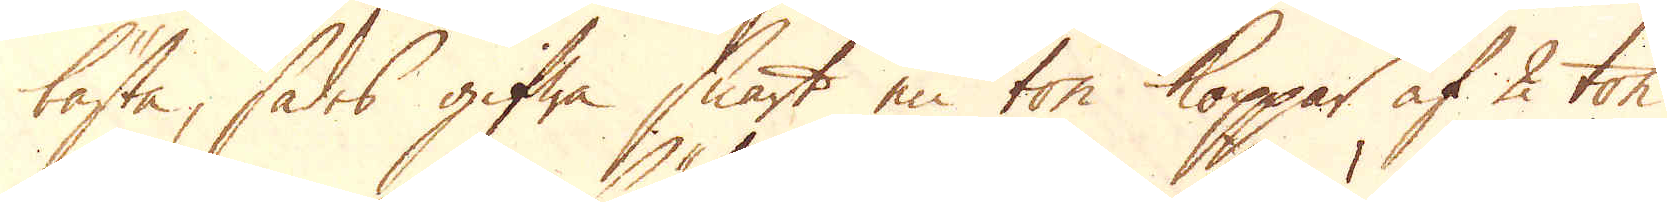bästa, sades gifwa snart en ton Koppar af 2 ton
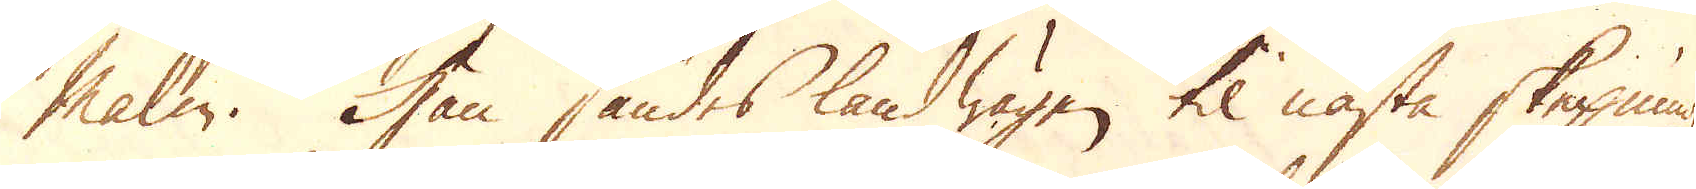malm. Han sändes landwägen til nästa skepning-
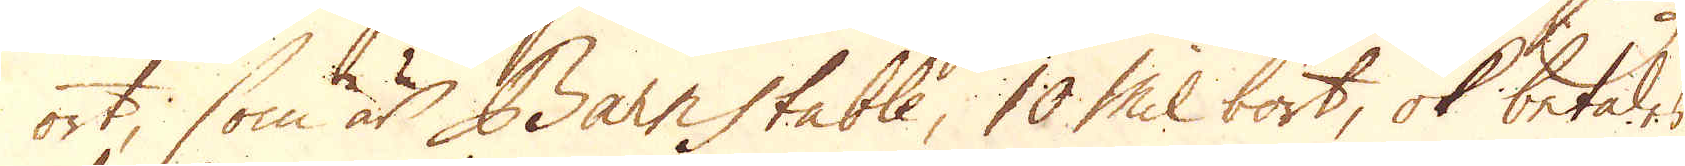ort, som är Barnstable, 10 Mil bort, ok betales
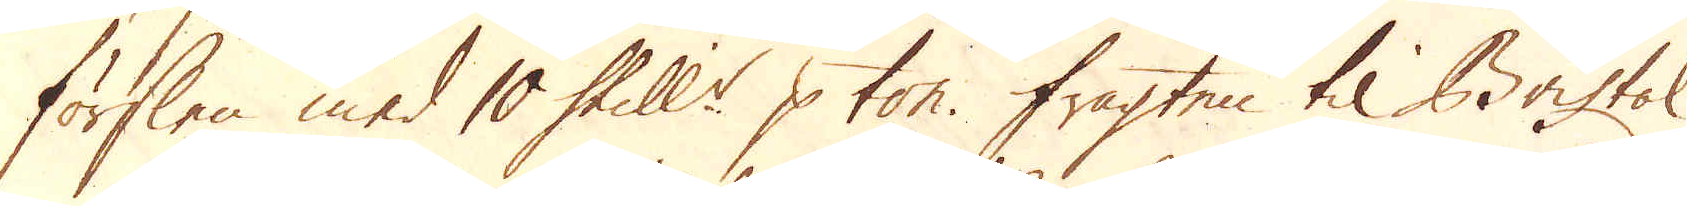förslen med 10 Skill:r p ton. Fragten til Bristol
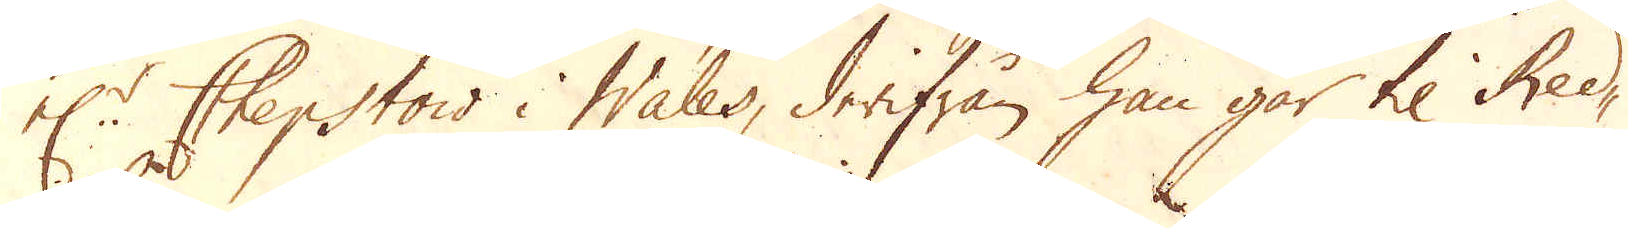el:r Chepstow i Wales, derifrån han går til Red- 
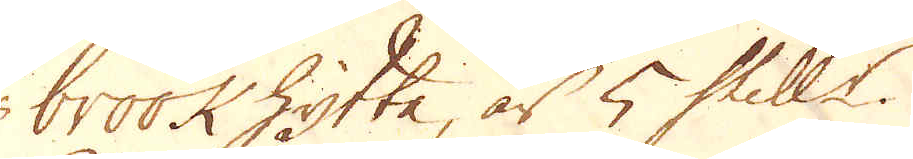brook hytta, är 5 Skill:r.
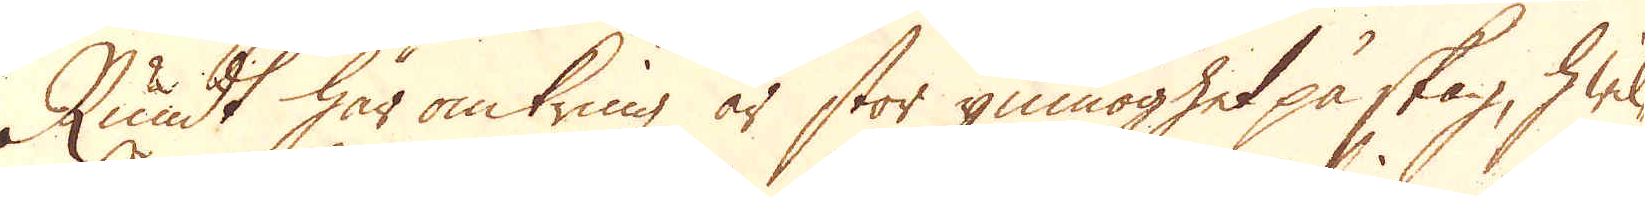Rundt här omkring är stor ymnoghet på skog, hwil-
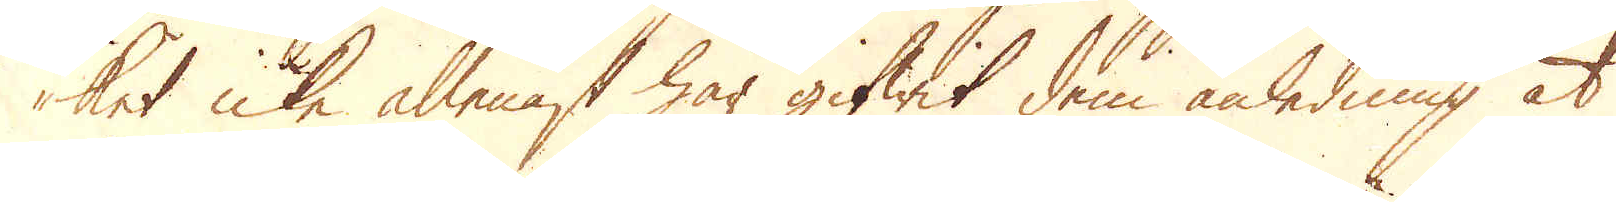ket icke allenast har gifwit dem anledning at
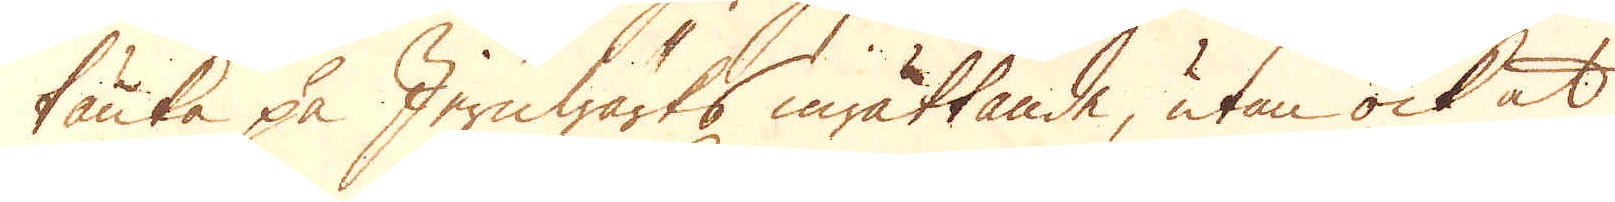tänka på Jernwärks inrättande, utan ock at
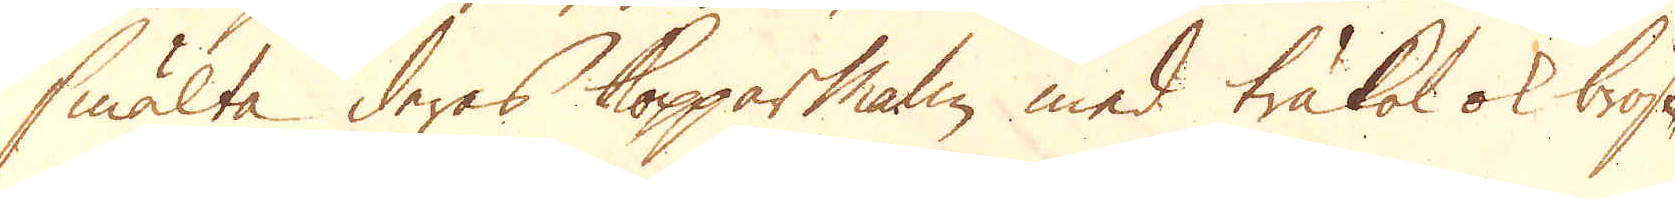smälta deras Kopparmalm med träkol ok bröst-
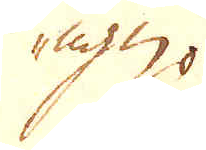ugn.
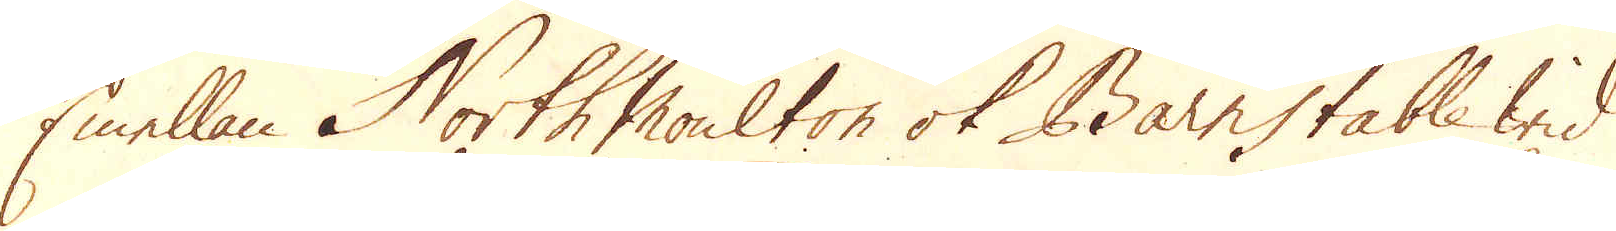Emellan North Moulton ok Barnstable wid
